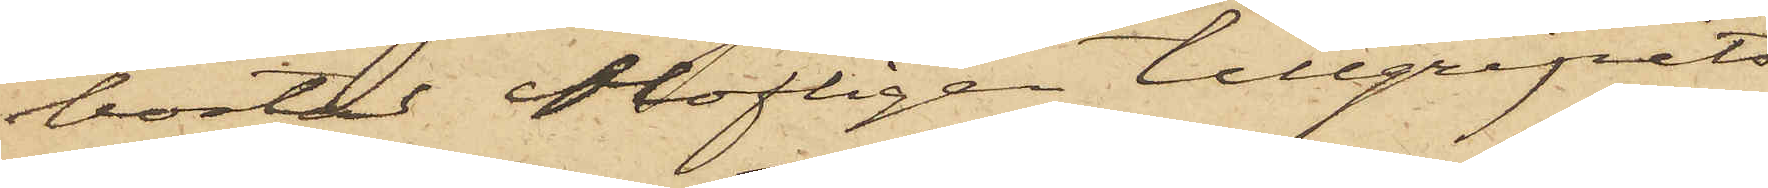bostad olofligen tillgripits
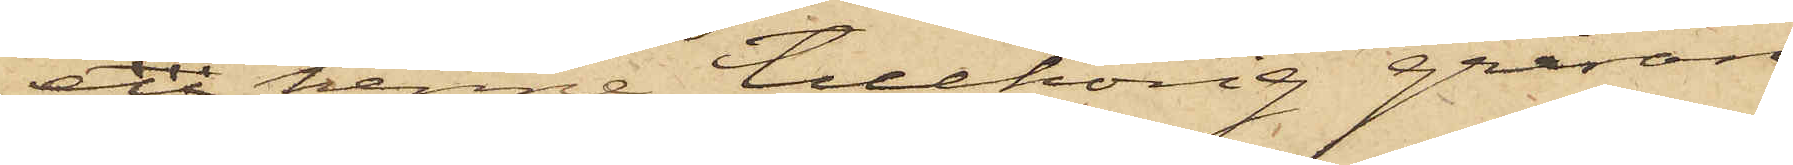en henne tillhörig gråran¬
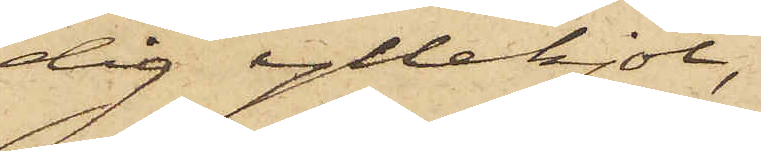dig yllekjol,
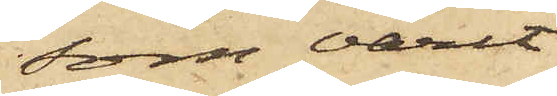som varit
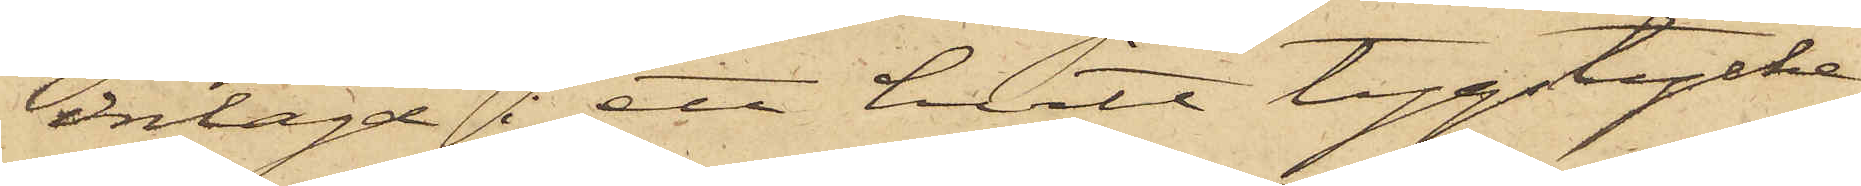inlagd i ett hvitt tygstycke,
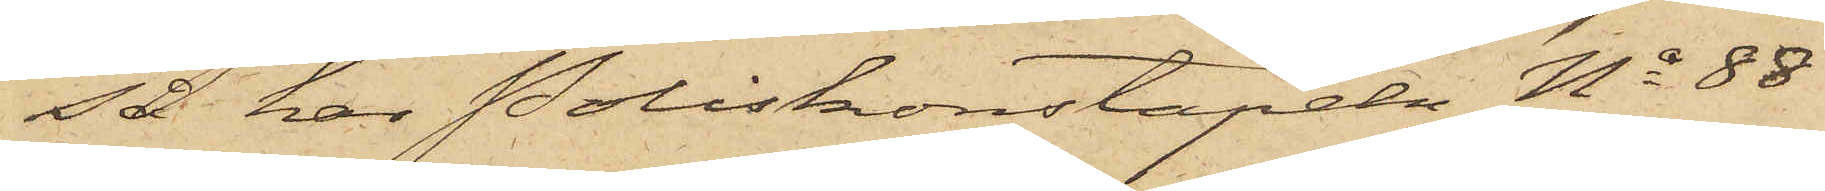så har Poliskonstapeln No 88
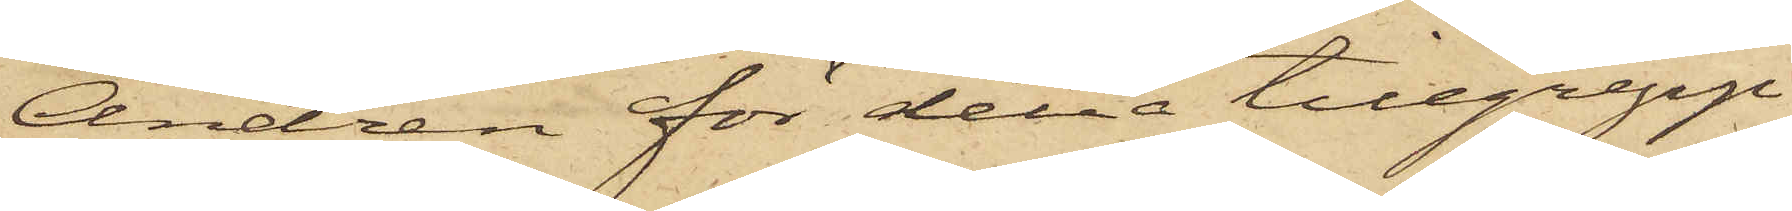Andrén för detta tillgrepp
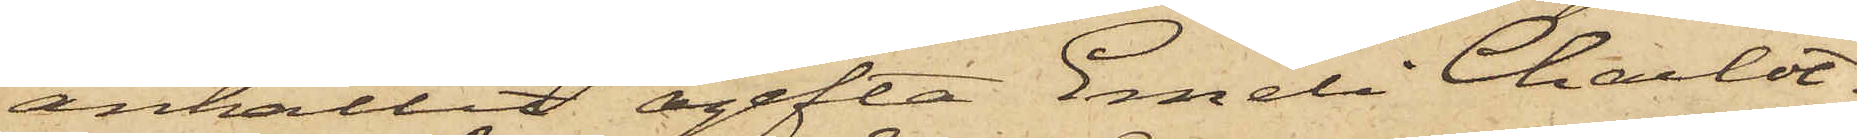anhållit ogifta Emeli Charlot¬
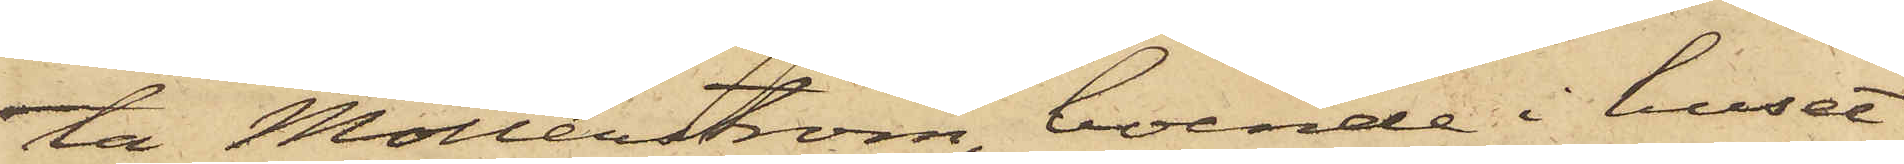ta Möllerström, boende i huset
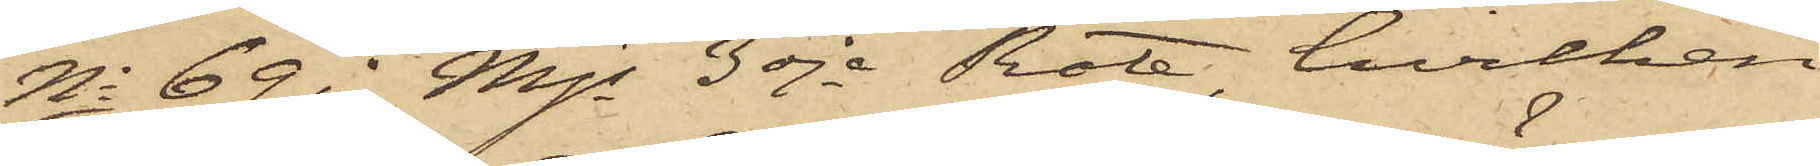No 69 i Mjs 3dje Rote, hvilken
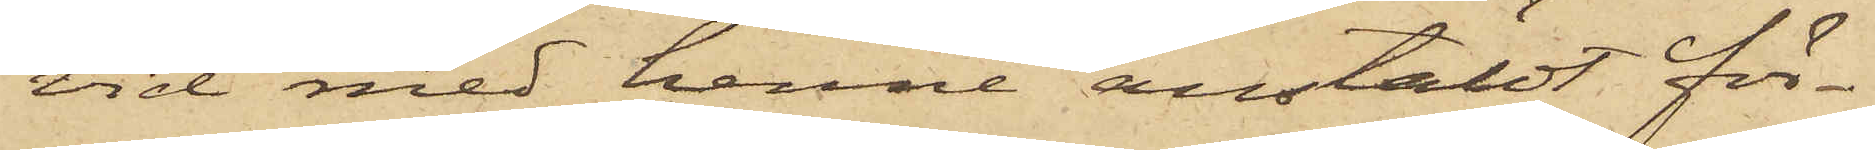vid med henne anstäldt för¬
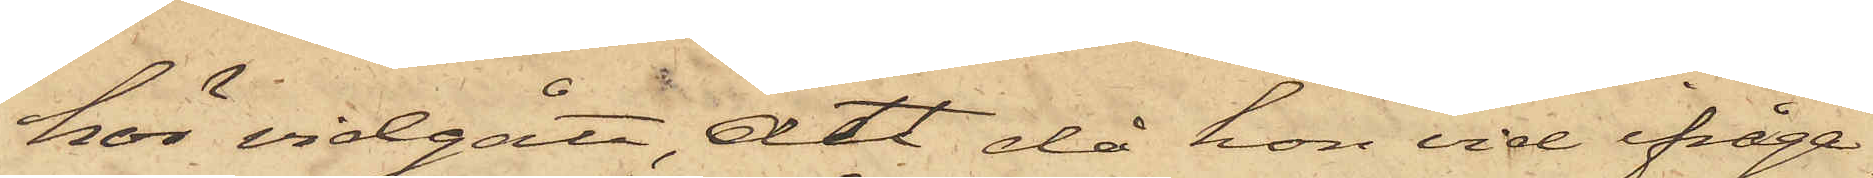hör vidgått, att då hon vid ifråga¬
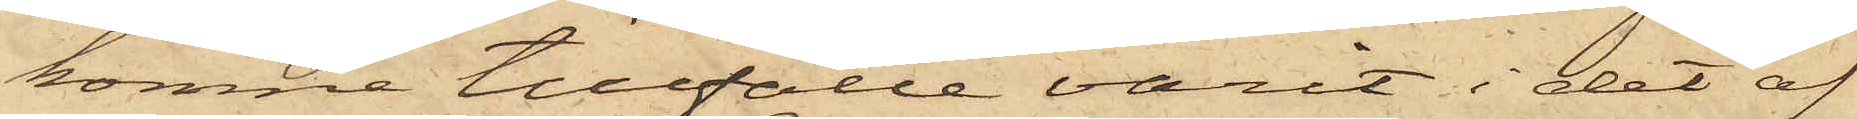komne tillfälle varit i det af
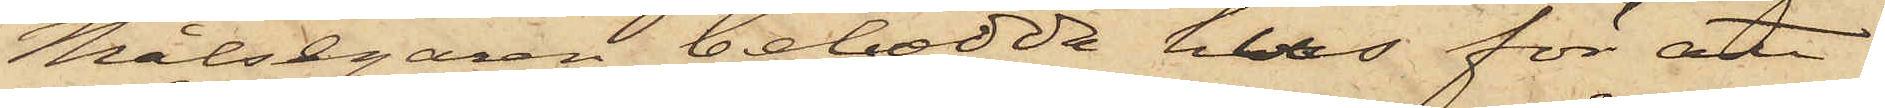Målsegaren bebodda hus för att
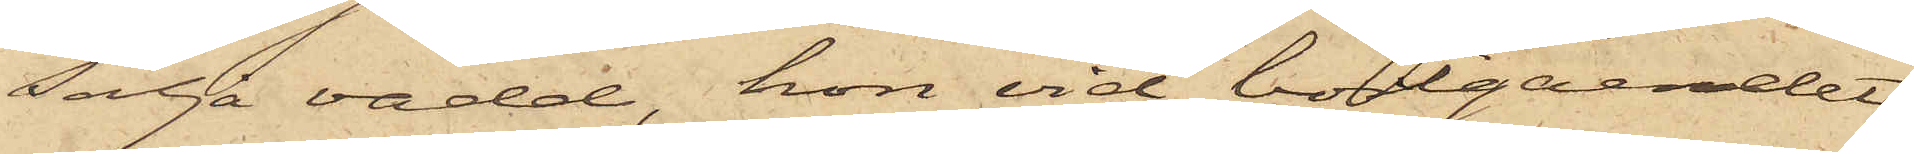sälja vadd, hon vid bortgåendet
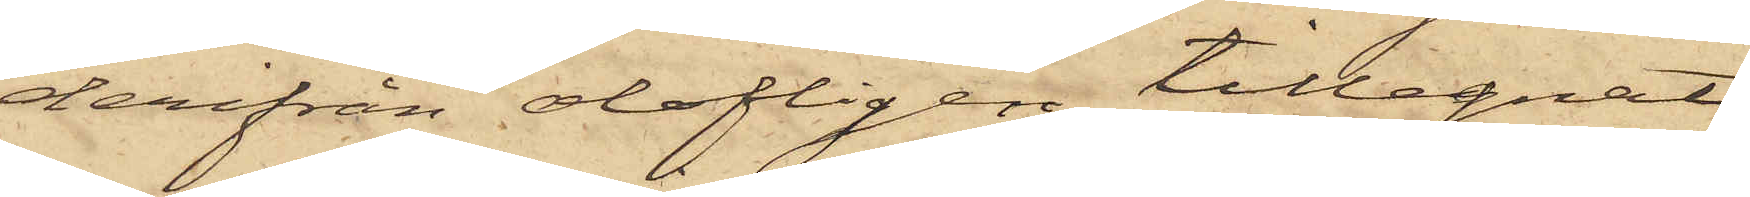derifrån olofligen tillegnat
